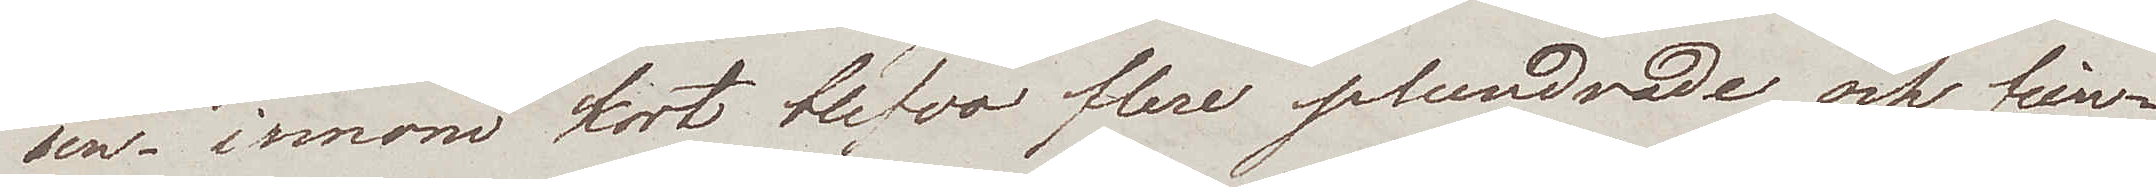sen – innom kort blefvo flere plundrade och fien¬
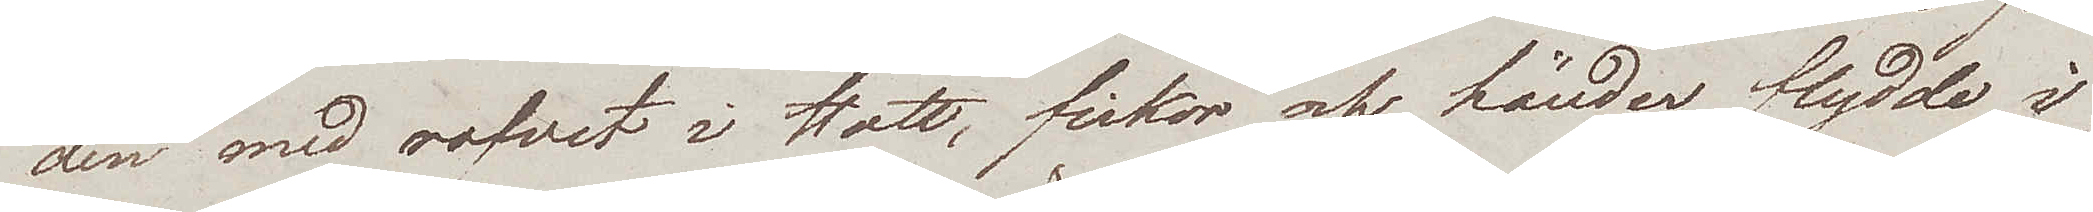den med rofvet i Hatt, fickor och händer, flydde i
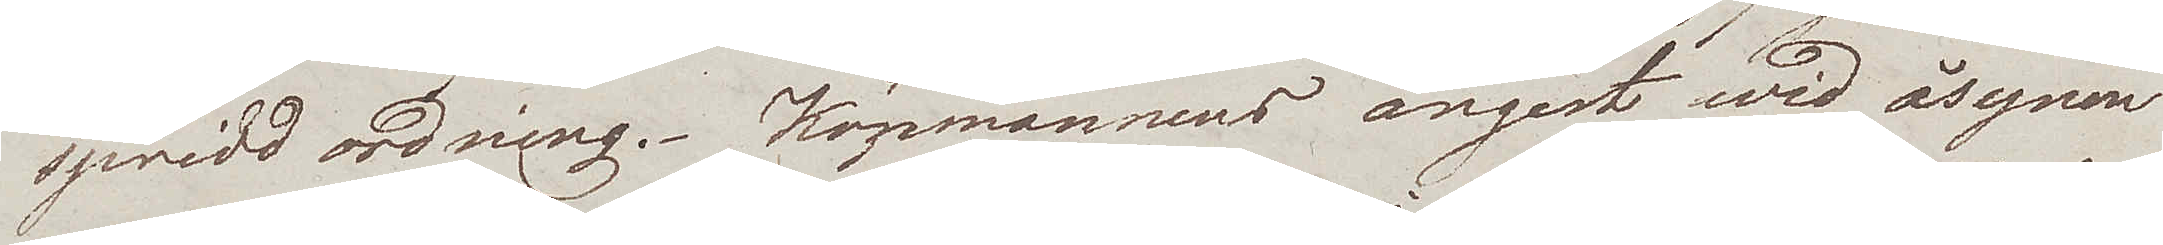spridd ordning. Köpmännens ångest wid åsynen
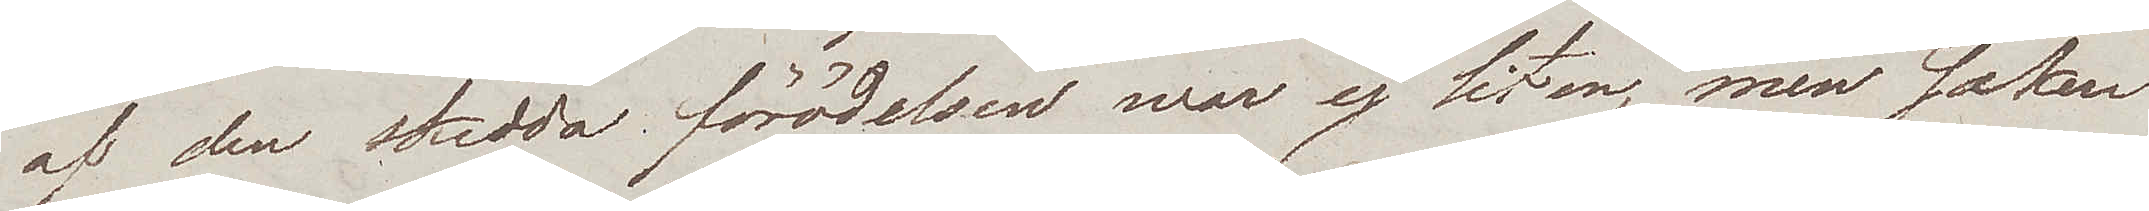af den skedda förödelsen war ej liten, men saken
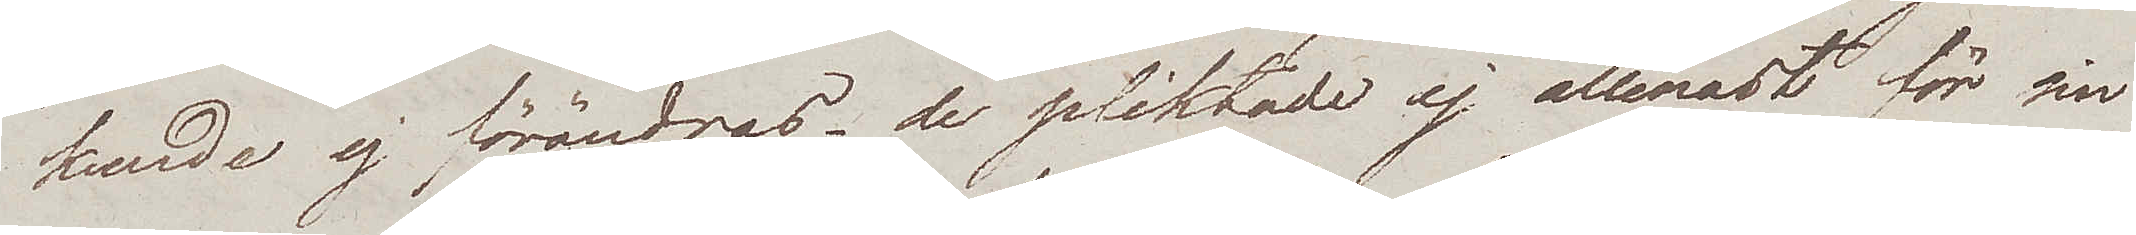kunde ej förändras – de pliktade ej allenast för sin
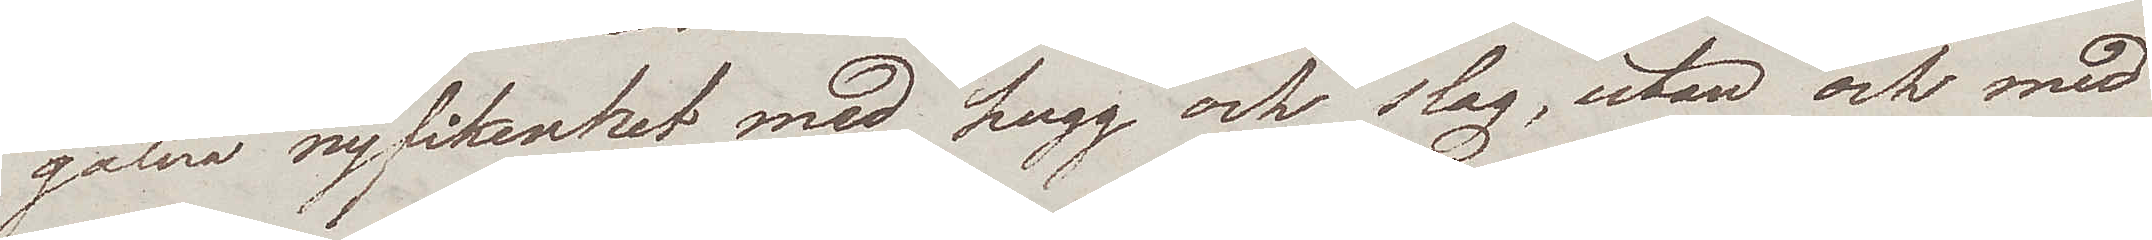galna nyfikenhet med hugg och slag, utan ock med
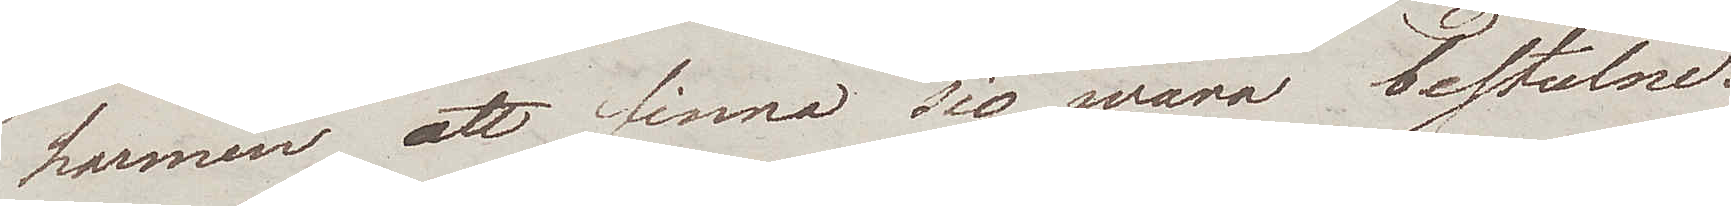harmen att finna sig wara bestulne.
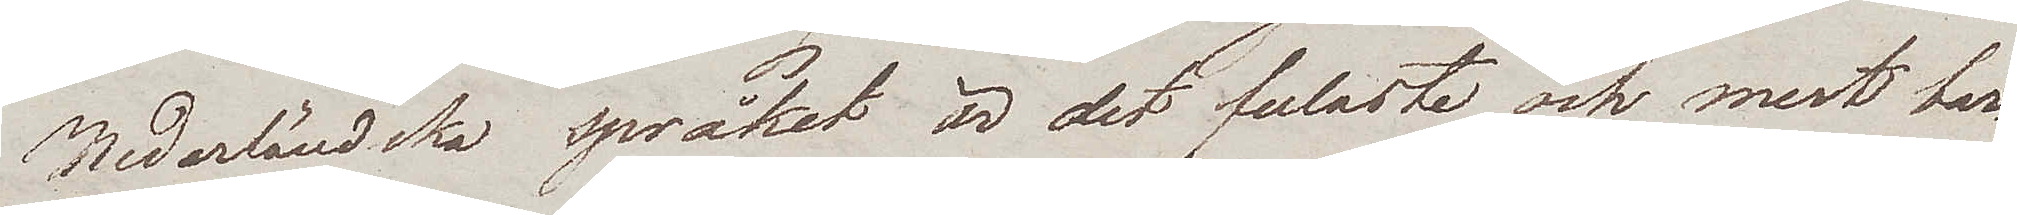Nederländska språket är det fulaste och mest bar¬
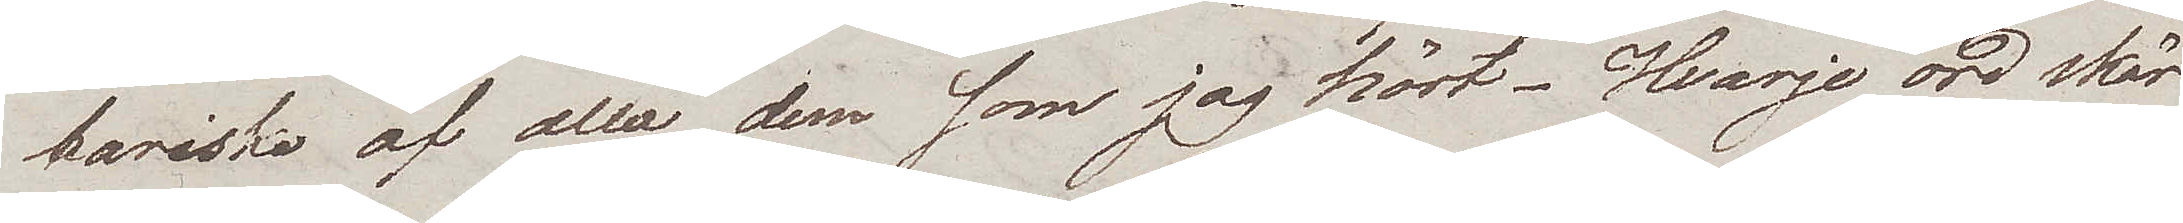bariska af alla dem som jag hört – Hvarje ord skär
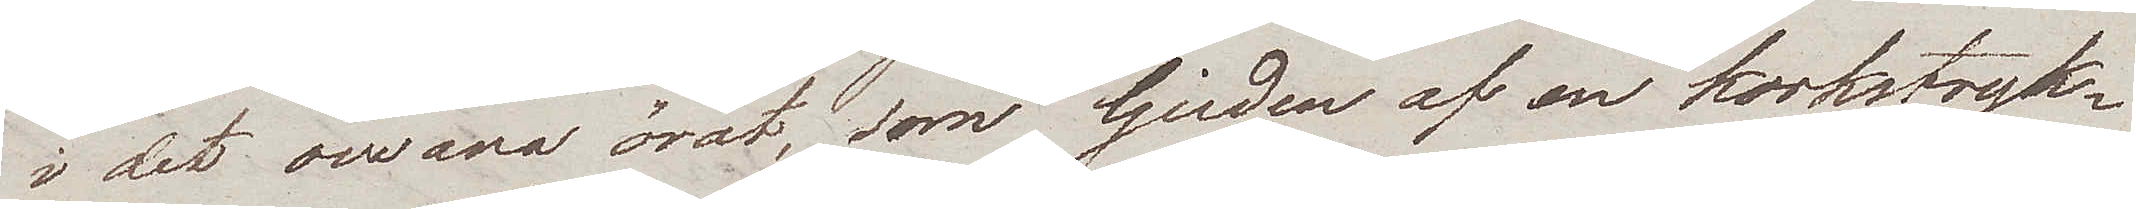i det owana örat, som ljuden af en korkstryk¬
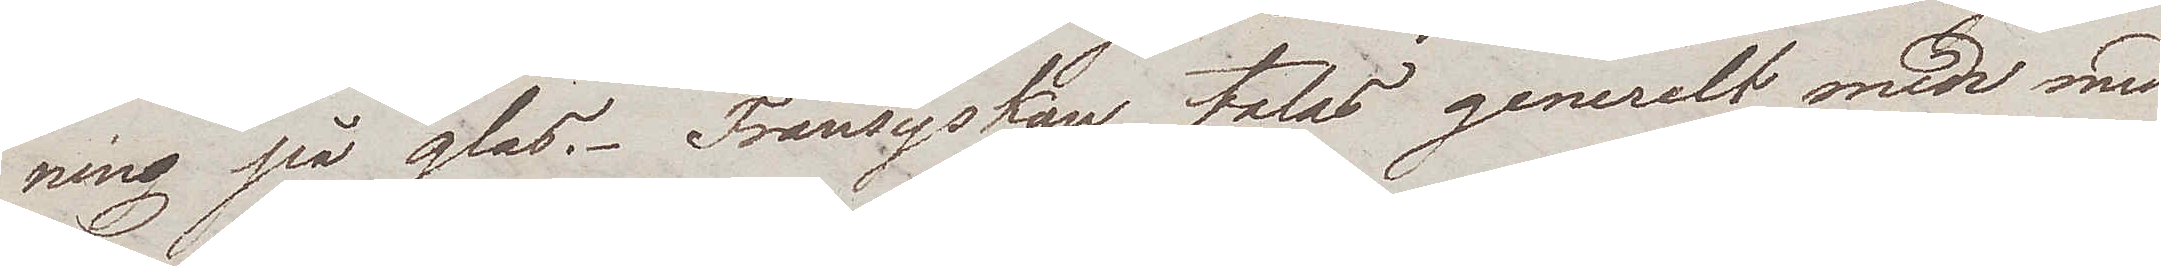ning på glas. Fransyskan talas generelt men med
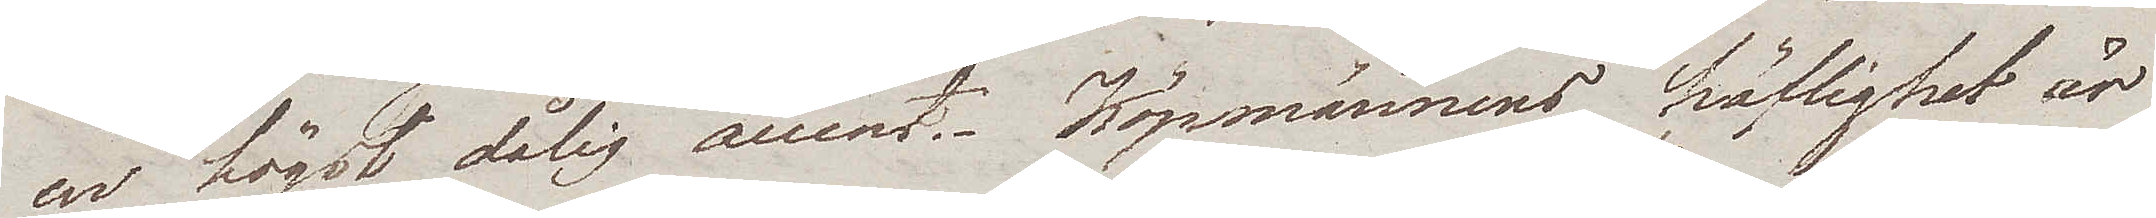en högst dålig accent. Köpmännens höflighet är
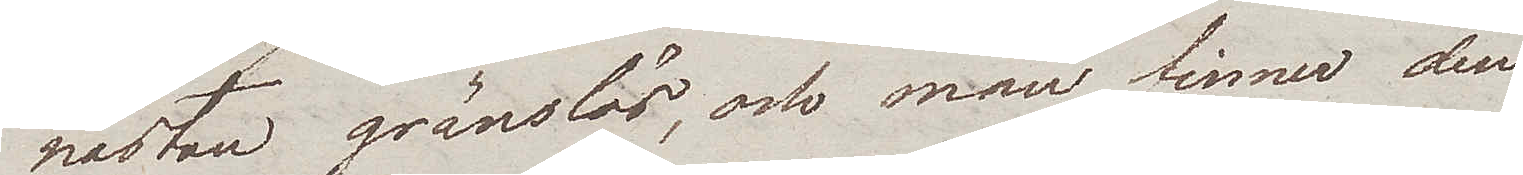nästan gränslös, och man finner den
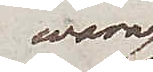wara
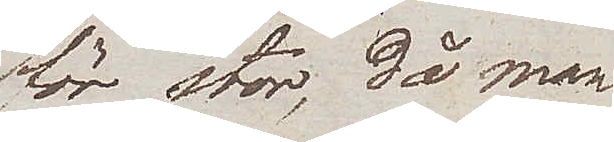för stor, då man
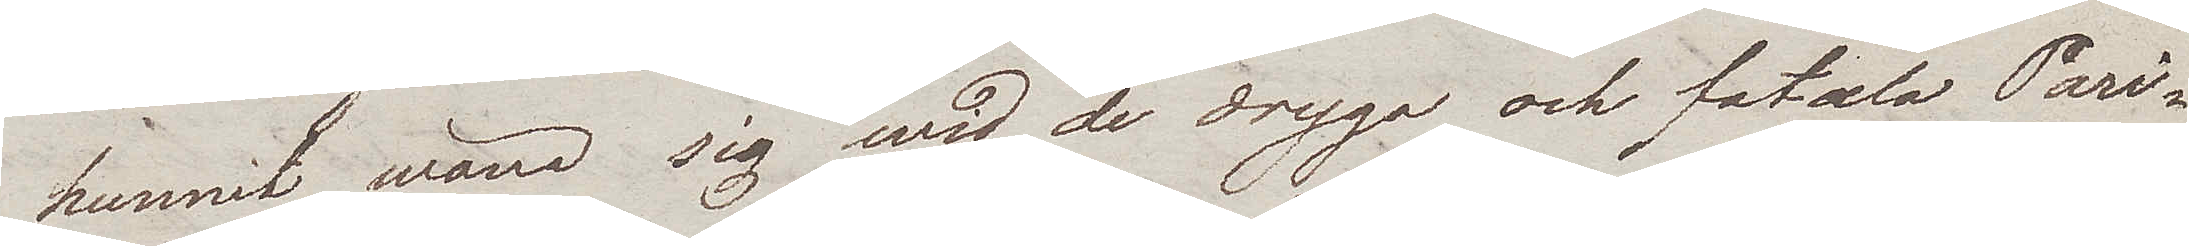hunnit wäna sig wid de dryga och fatala Pari¬
